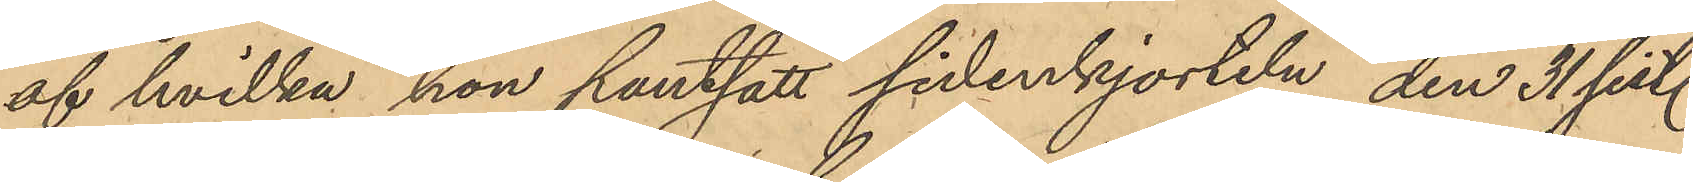af hvilka hon pantsatt sidenkjorteln, den 31 sist.
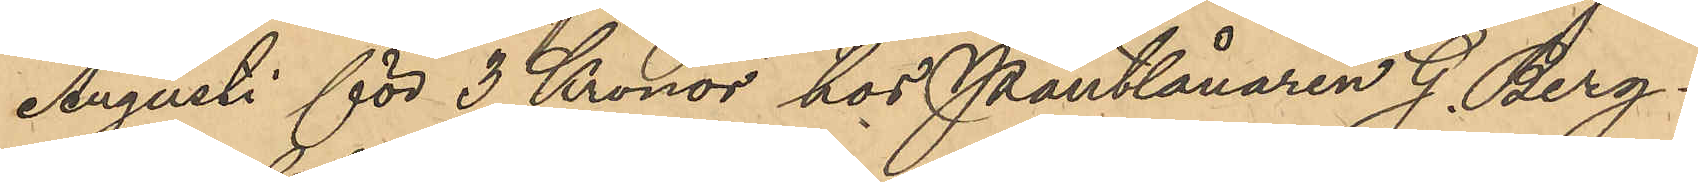Augusti för 3 Kronor hos Pantlånaren G. Berg¬
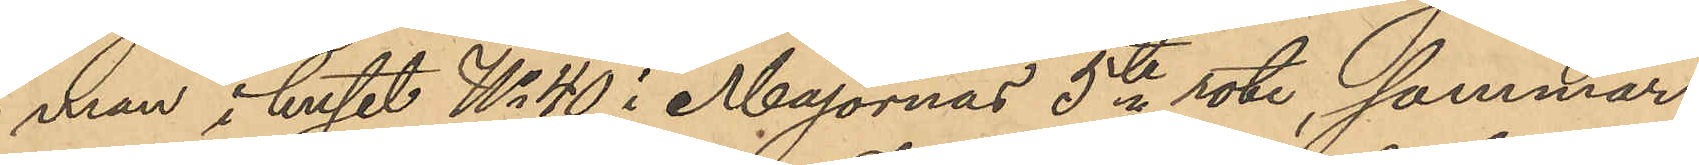man i huset No 40 i Majornas 5te rote, sommar¬
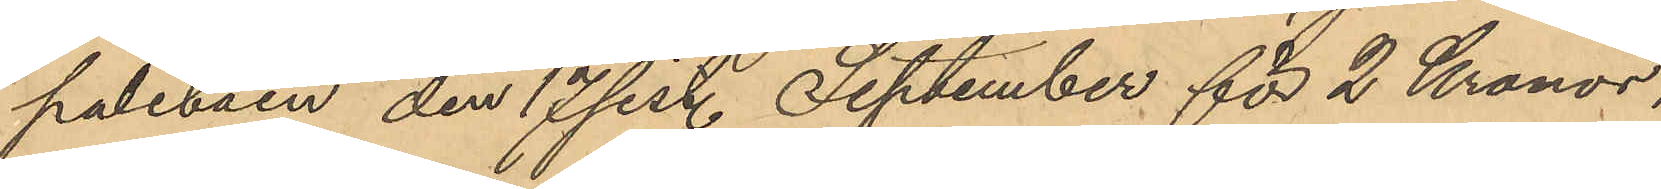paletåen den 17 sist. September för 2 Kronor,
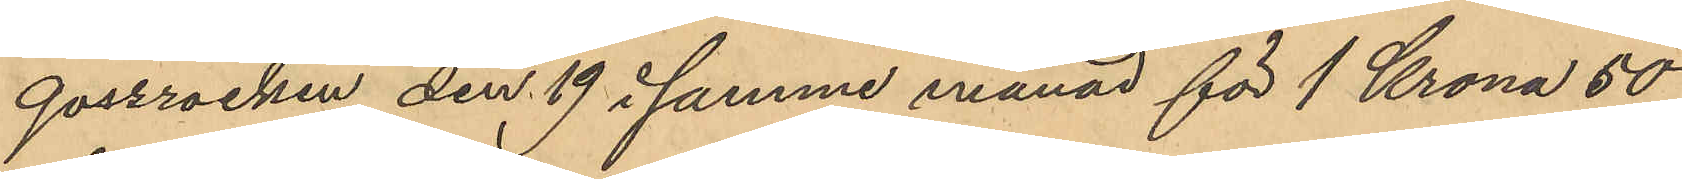gossrocken den 19 i samme månad för 1 Krona 50
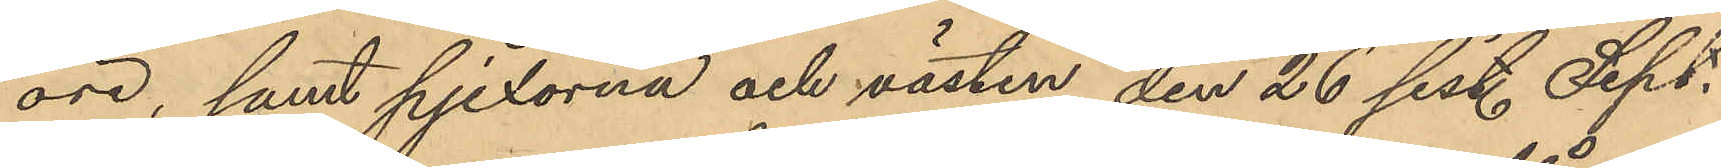öre, samt pjexorna och västen den 26 sist. Sept.
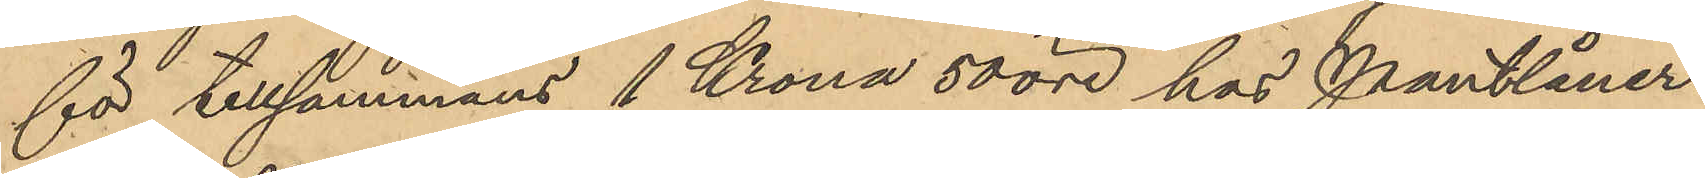för tillsammans 1 Krona 50 öre hos Pantlåner¬
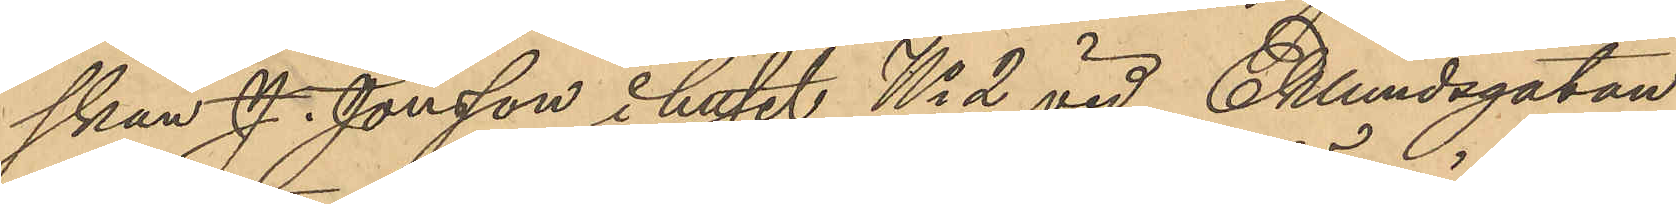skan J. Jonsson i huset No 2 vid Eklundsgatan
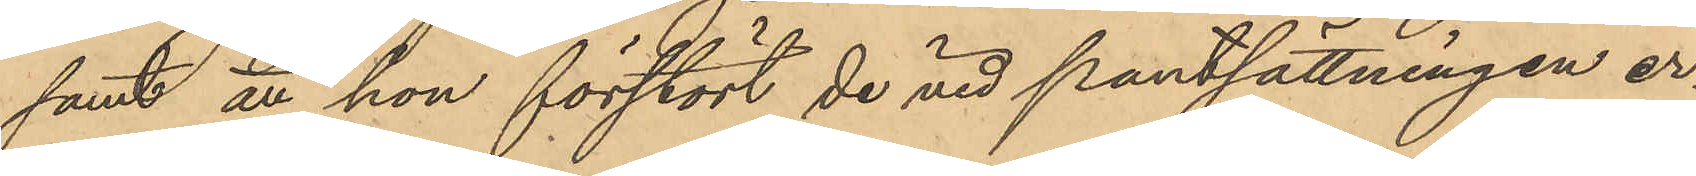samt att hon förstört de vid pantsättningen er¬
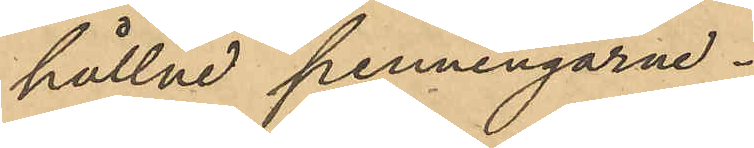hållne penningarne.
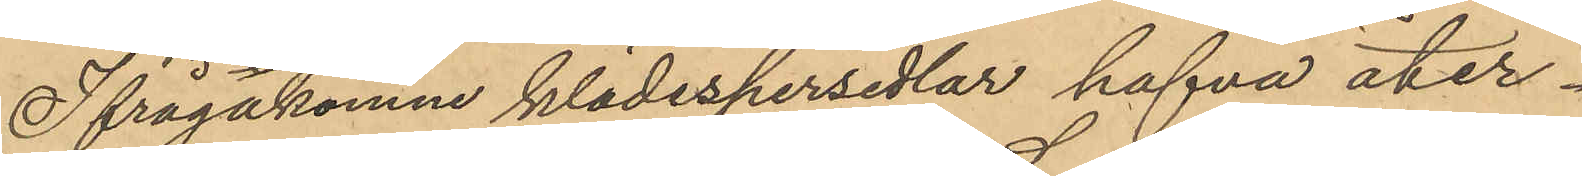Ifrågakomne klädespersedlar hafva åter¬
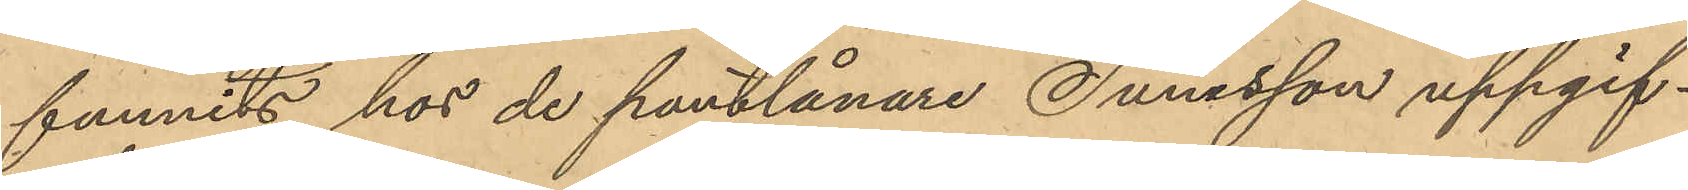funnits hos de pantlånare Sunesson uppgif¬
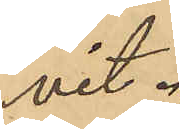vit.
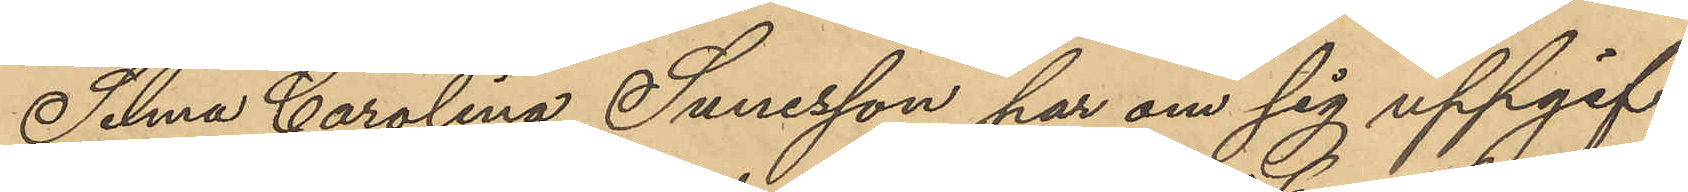Selma Carolina Sunesson har om sig uppgif¬
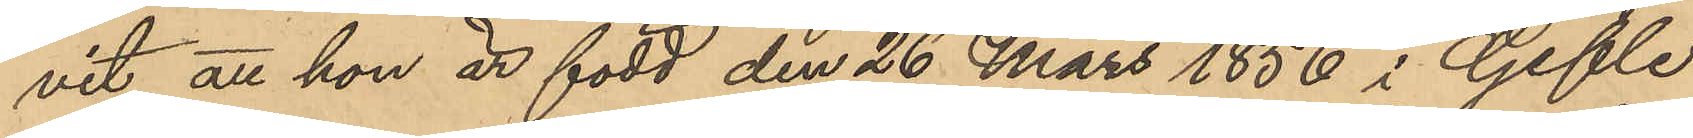vit att hon är född den 26 Mars 1856 i Gefle
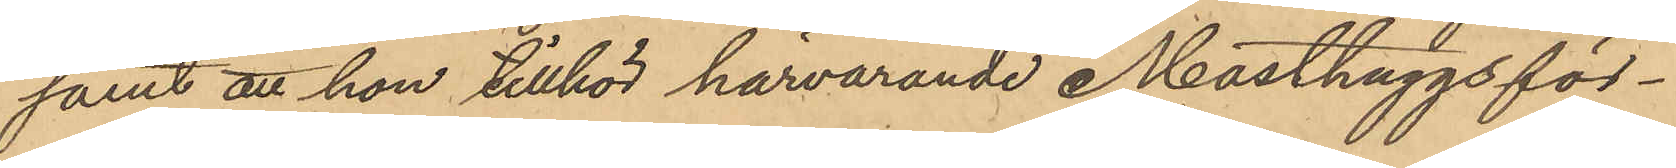samt att hon tillhör härvarande Masthuggsför¬
